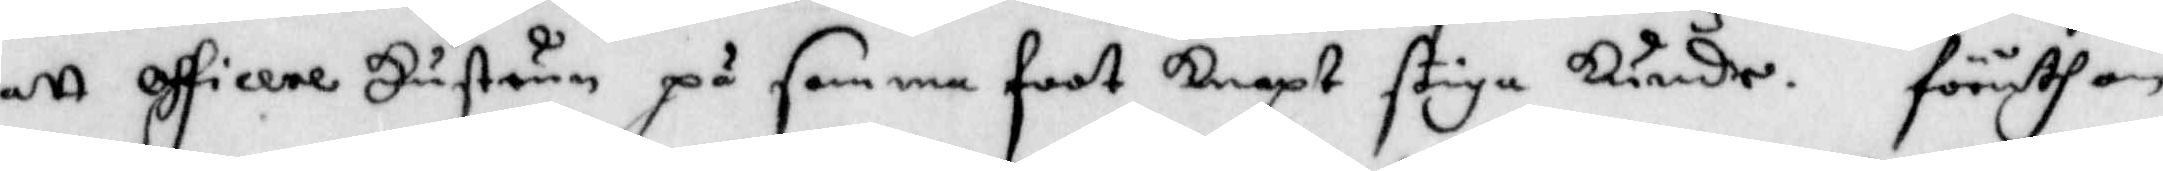att officere Hustrun på samma foot knapt stiga kunde. föruthan
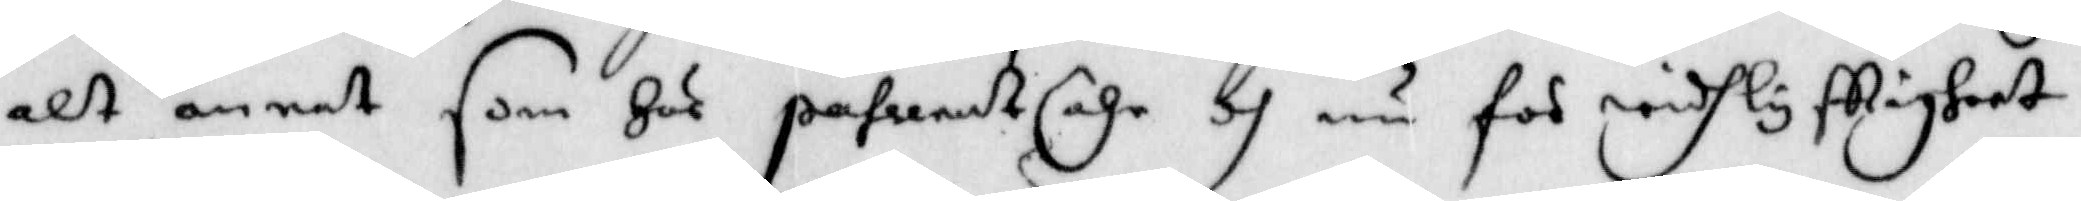alt annat som Här pahrenast ähr och nu för widhlyfttigheet
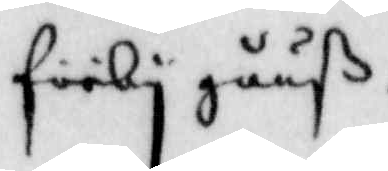förbygååß.
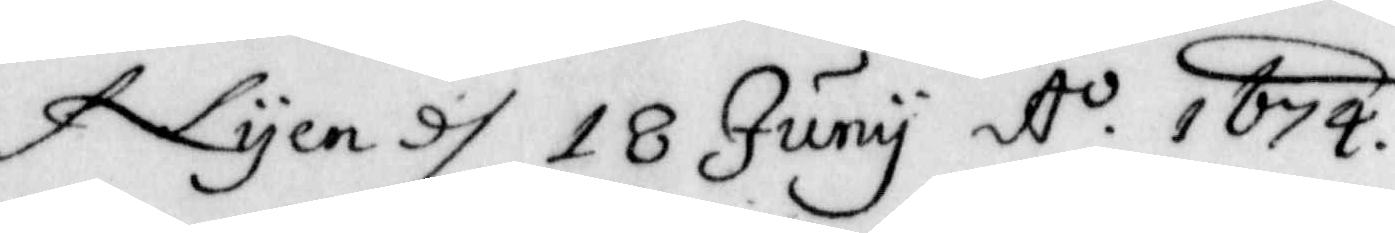Nyen d 18 Juni A.o 1674.
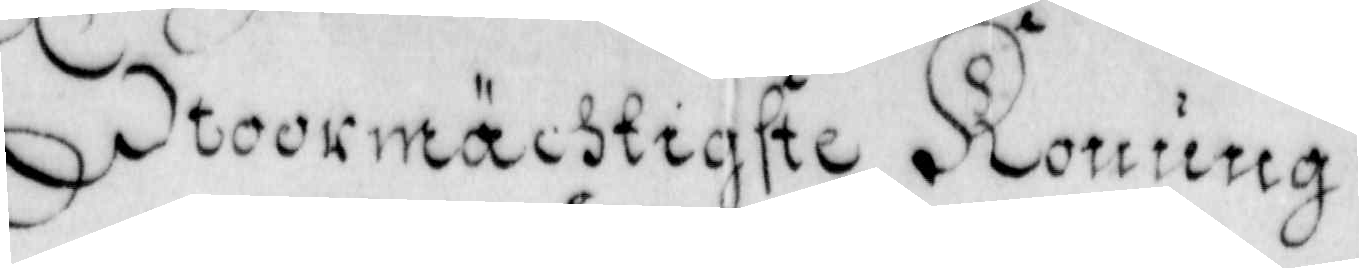Stoormächtiste Konung
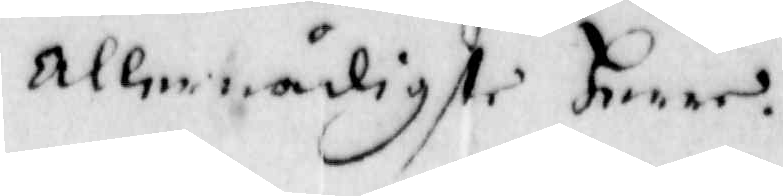Allernådigste Herre.
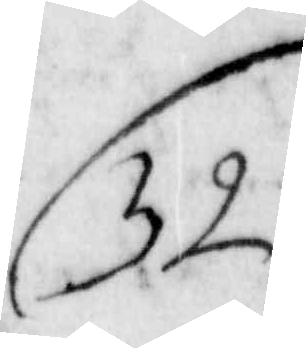32
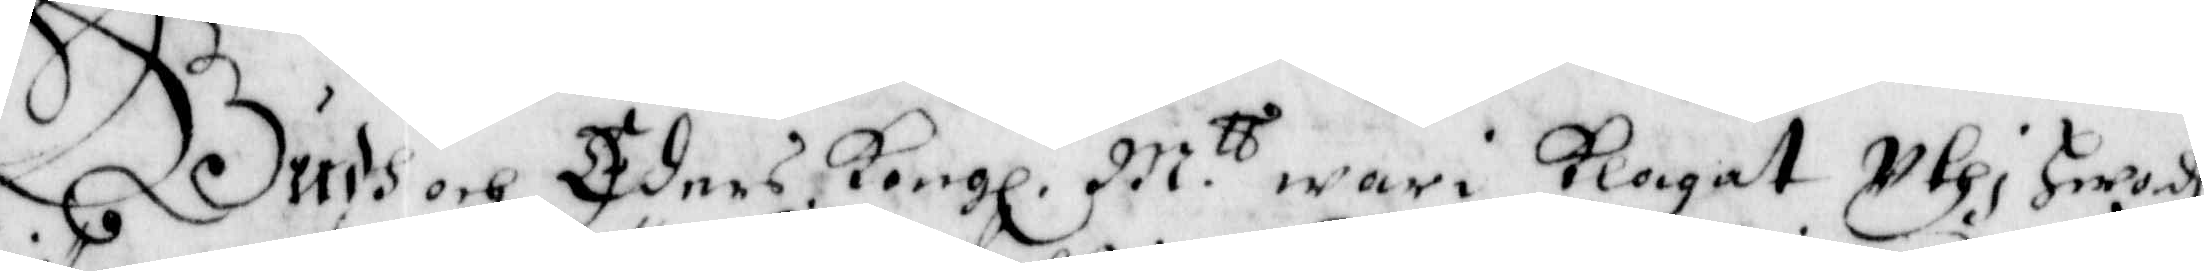Gudh och Eders Kongl. M.tt wari klagat uthi Hwadh
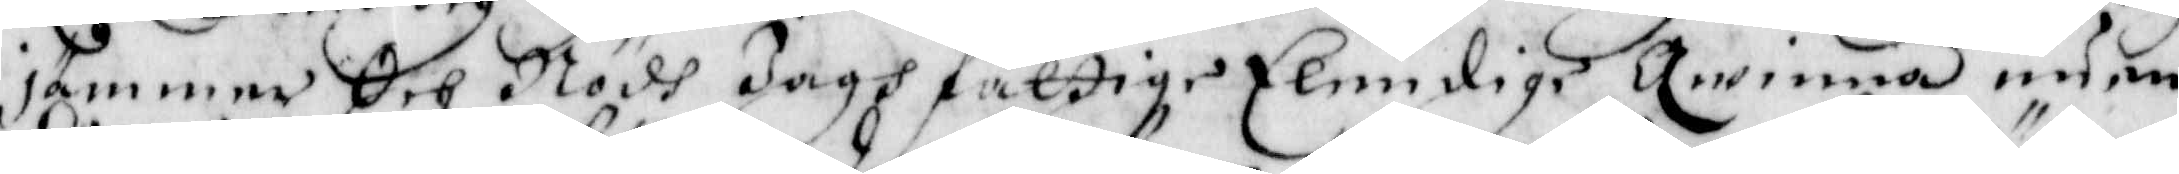jämmer Och Nödh Jagh fattige Elendige Qwinna nu en
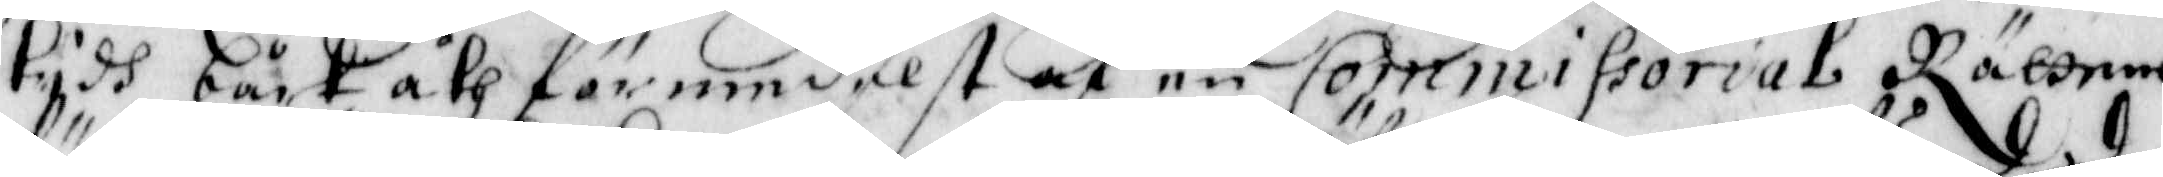tydh bårt åth förmedelst en Commissorial Rättens
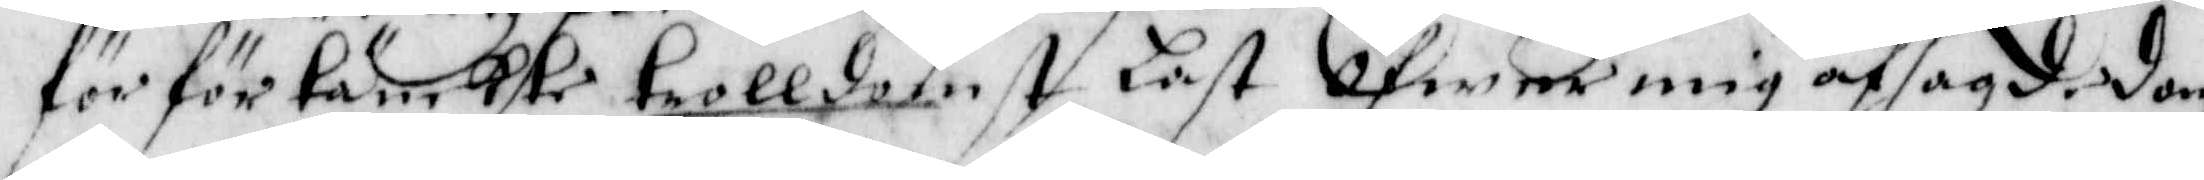för för tänkte trolldomst Last Öfwer mig afsagde dom
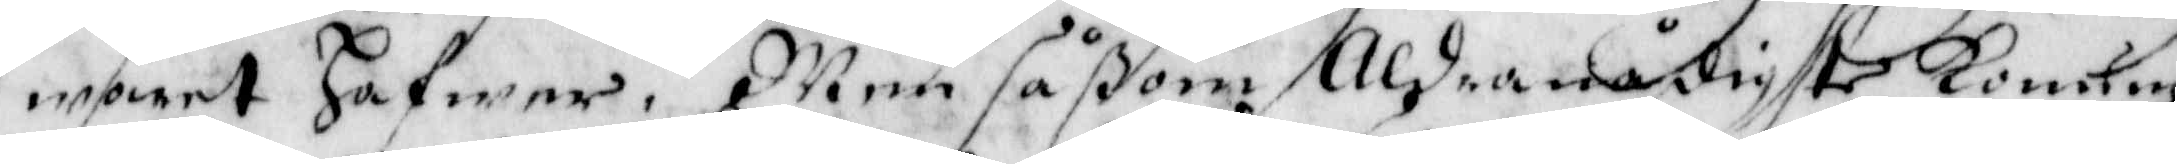woret Hafwer. Men såßom Aldranådigste Konung
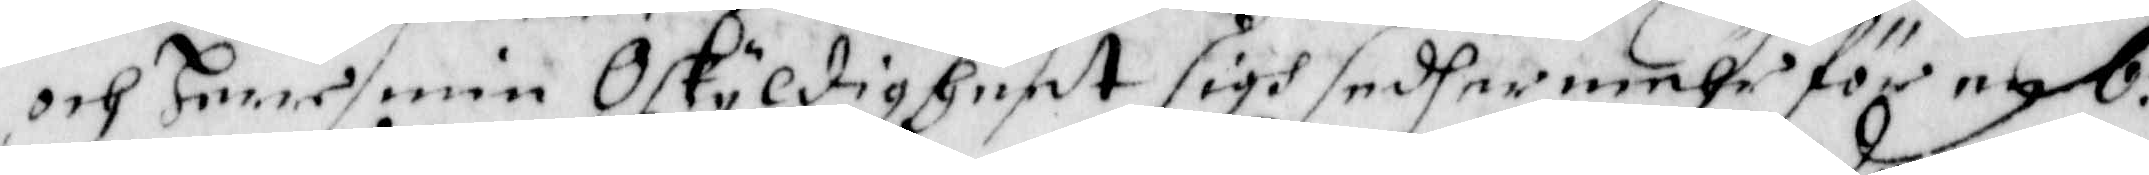och Herre min Oskyldigheet sigh sedhermehr för en 6.
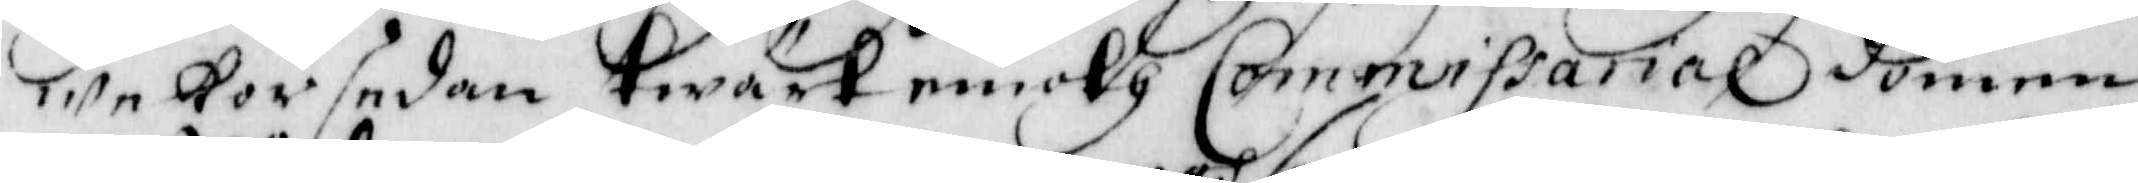wekor sedan twärt emoth Commissarial domen
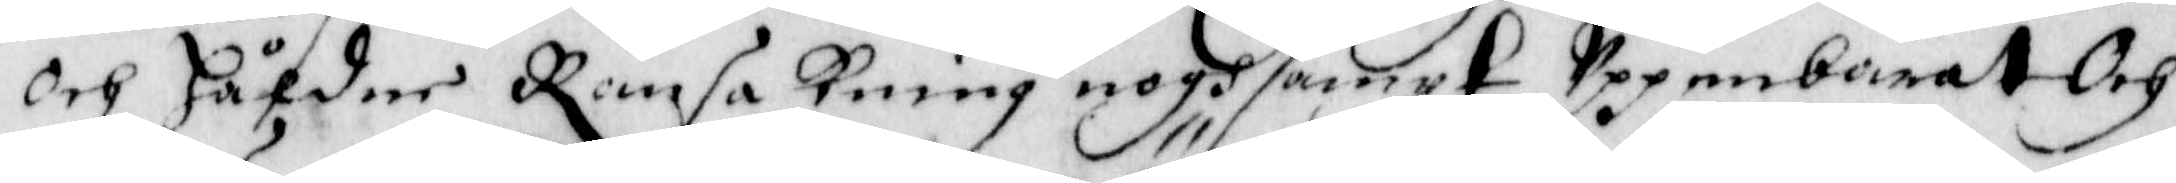och Håldne Ransakning noghsamnt uppenbarat och
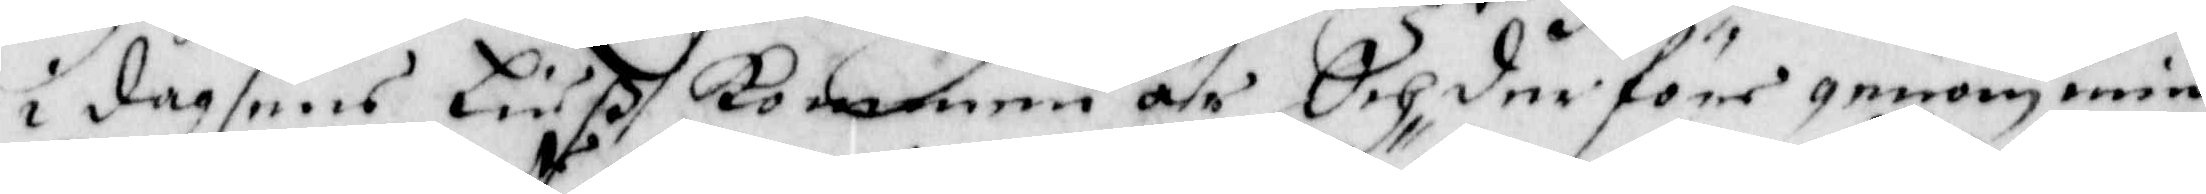i dagsens liuß Kommen är Och der före genom min
